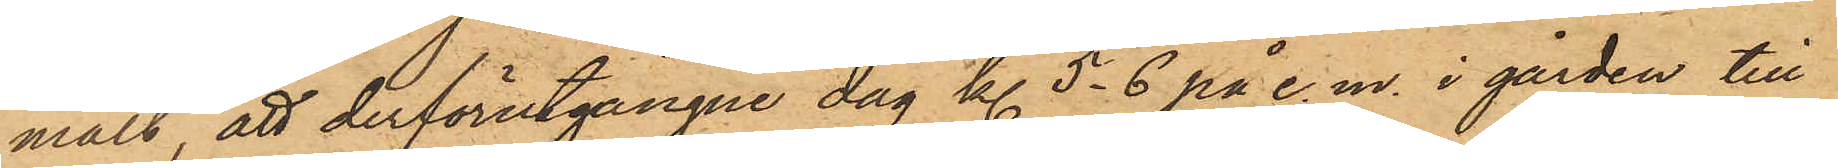mält, att derförutgångne dag kl. 5-6 på e. m. i gården till
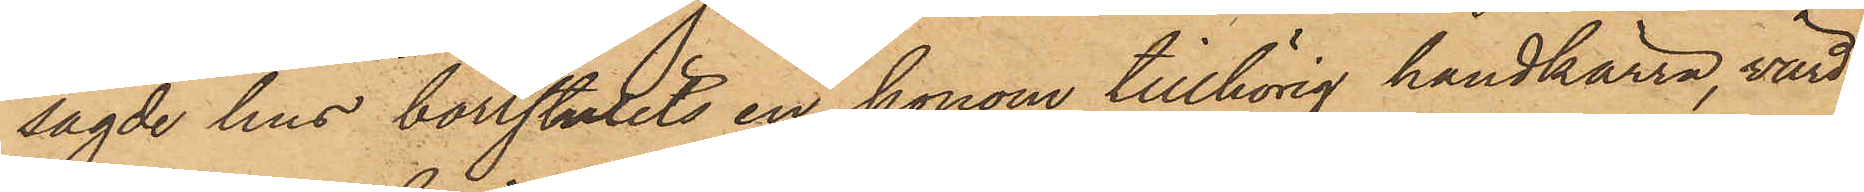sagde hus bortstulits en honom tillhörig handkärra, värd
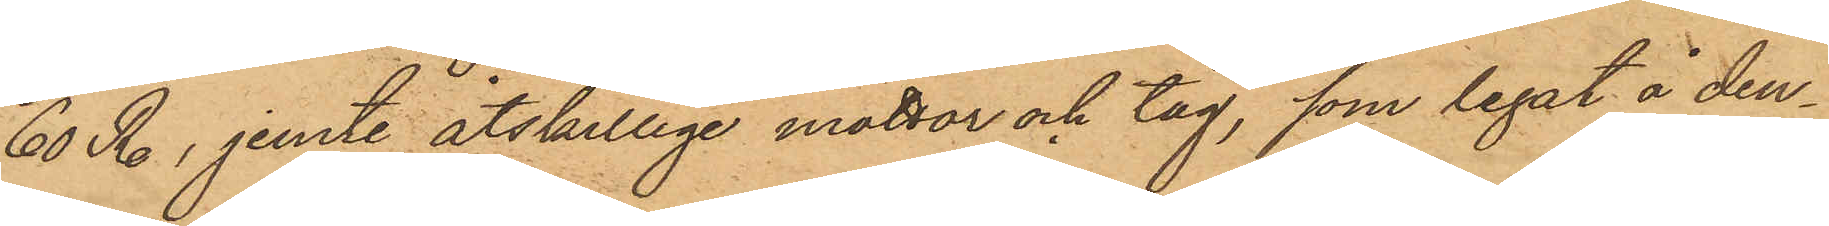60 Rdr, jemte åtskillige mattor och tåg, som legat å den¬
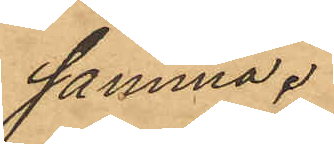samma.
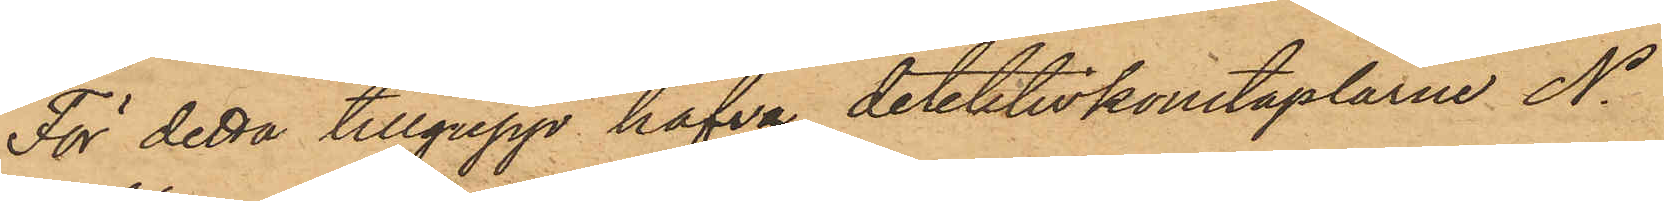För detta tillgrepp hafva detektivkonstaplarne N.
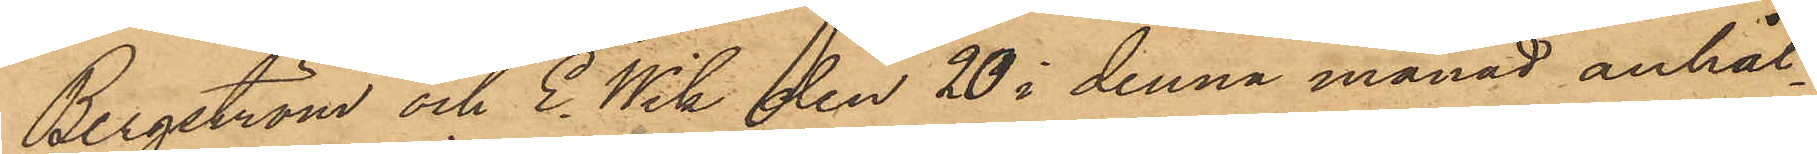Bergström och E. Wik den 20 i denna månad anhål¬
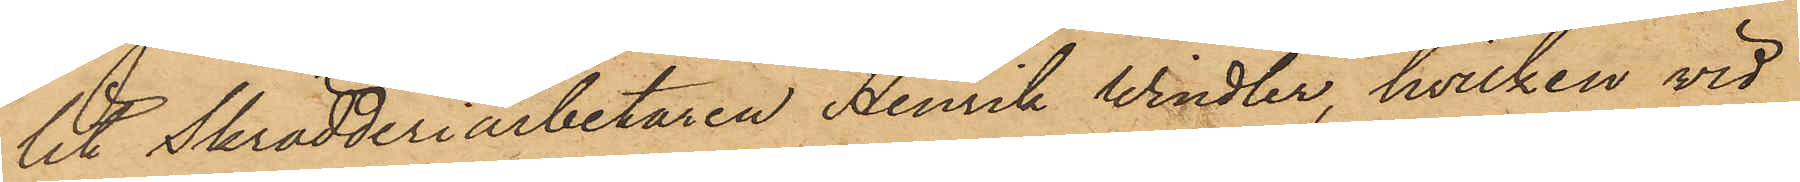lit Skrädderiarbetaren Henrik Windler, hvilken vid
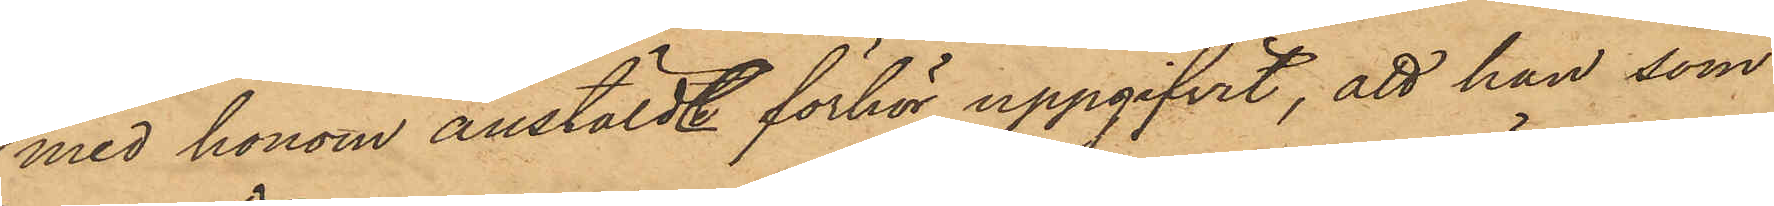med honom anstälde förhör uppgifvit, att han som
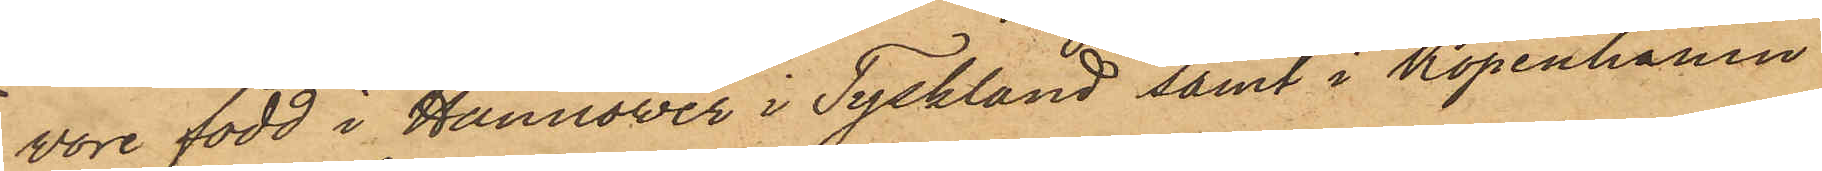vore född i Hannower i Tyskland samt i Köpenhamn
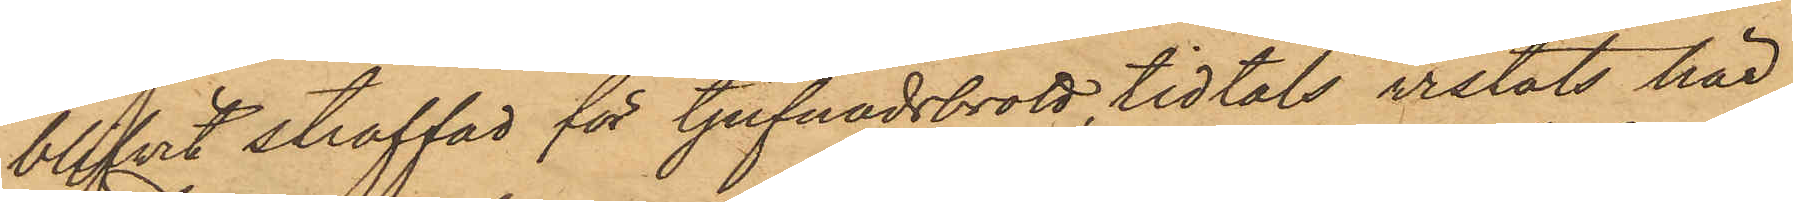blifvit straffad för tjufnadsbrott, tidtals vistats här
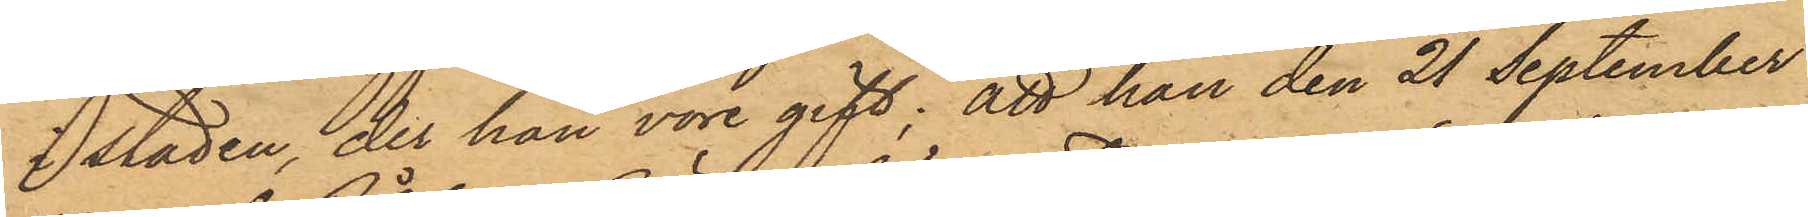i staden, der han vore gift; att han den 21 September
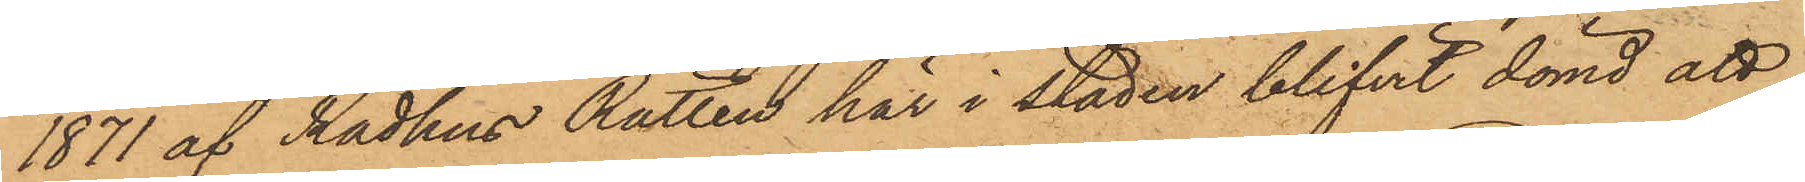1871 af Rådhus Rätten här i staden blifvit dömd att
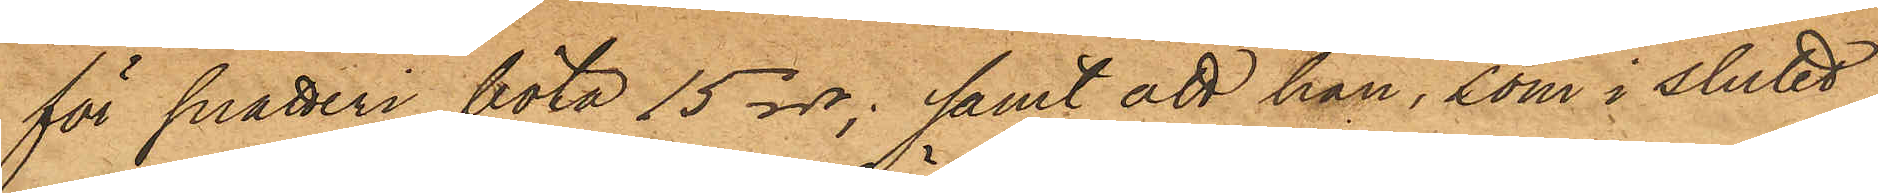för snatteri böta 15 rdr; samt att han, som i slutet
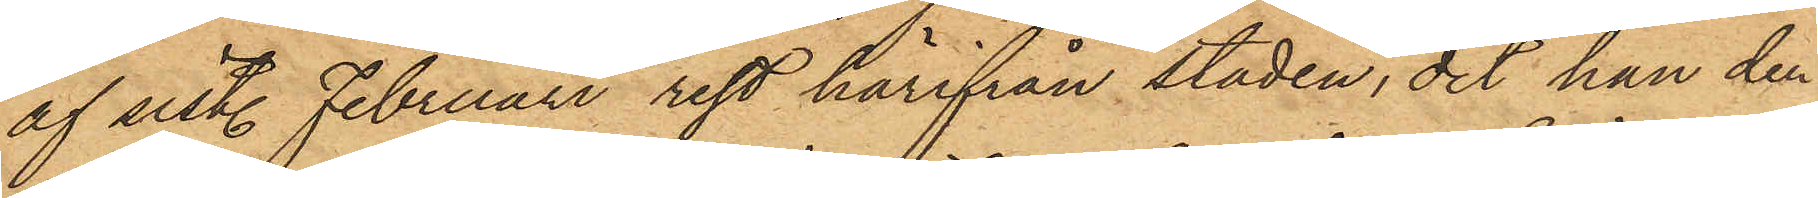af sist. Februari rest härifrån staden, dit han den
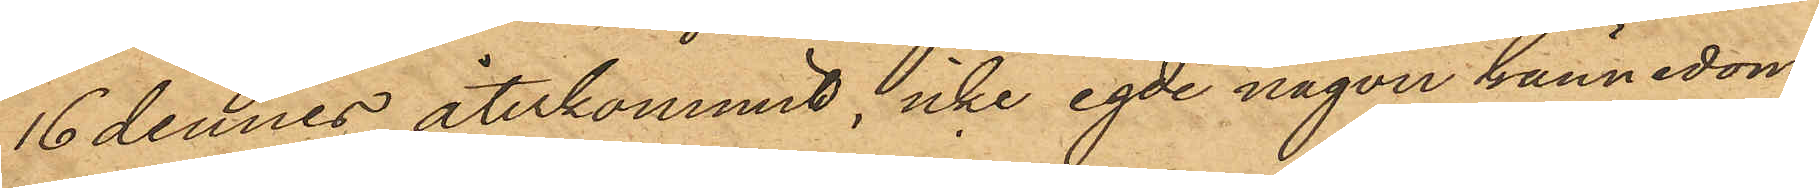16 dennes återkommit, icke egde någon kännedom
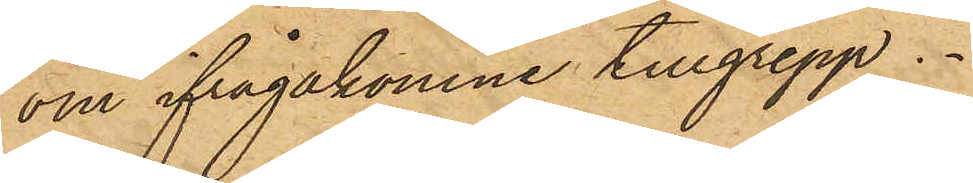om ifrågakomne tillgrepp.
